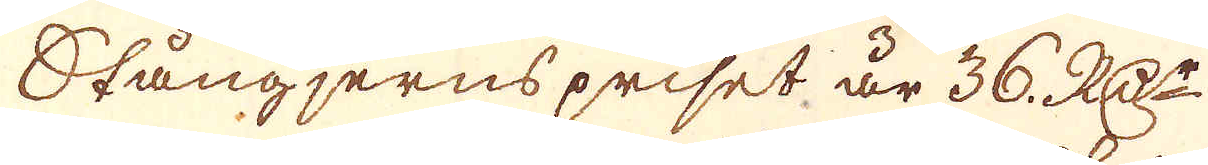Stångjerns priset är 36. RD:r
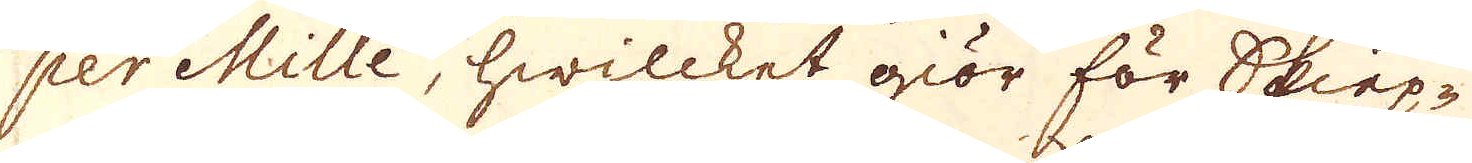per Mille, hwilcket giör för Skiep-
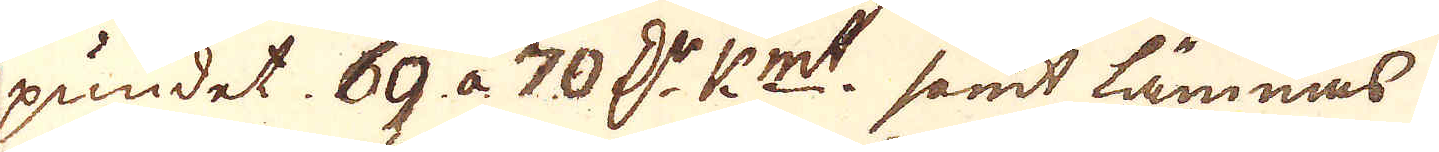pundet. 69. a  70. d:r k:mt samt lämnas
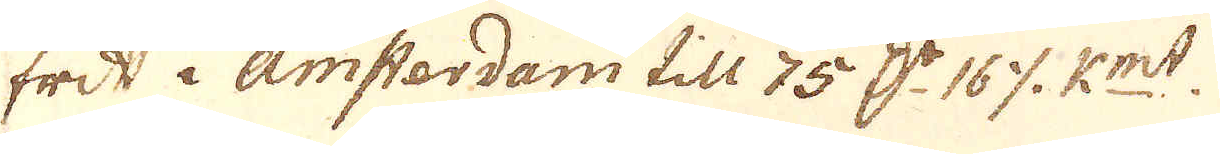frit i Amstardam till 75 d:r 16 öre k:mt
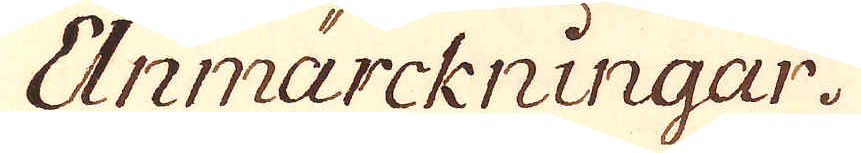Anmärckningar.
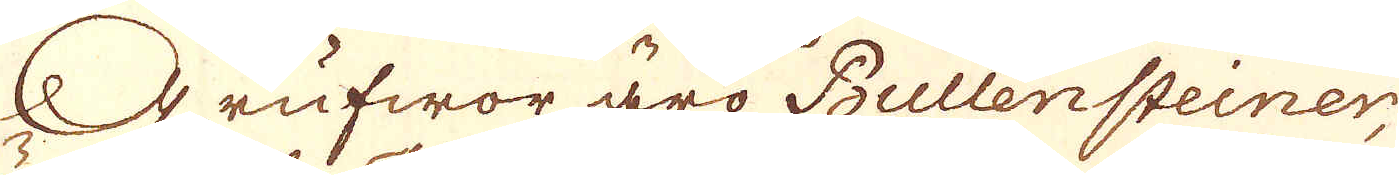Grufwor äro Bullensteiner,
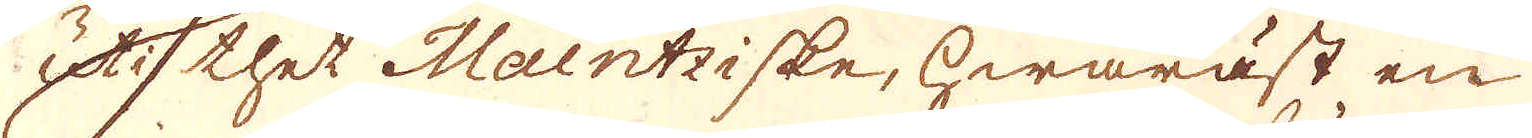uti thet Maintziske, hwaräst en
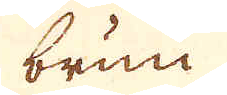brun
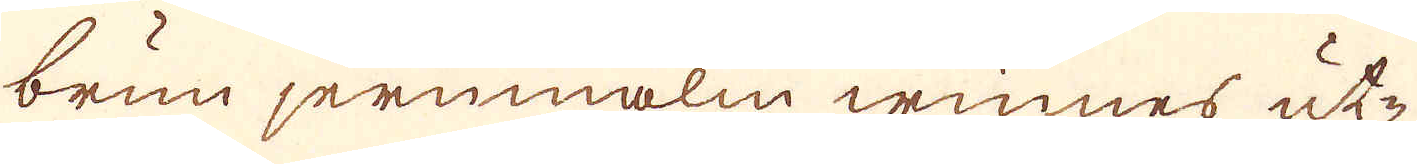brun jernmalm winnes ut-
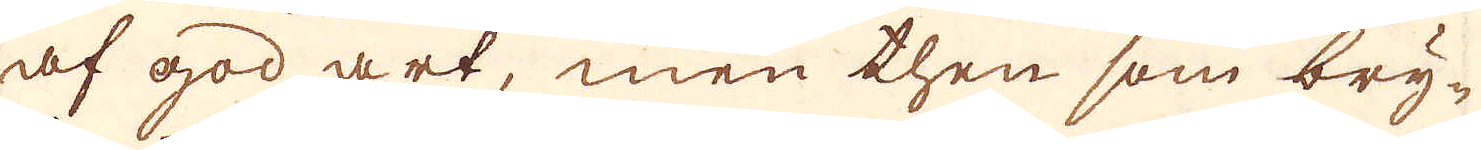af god art, men then som bry-
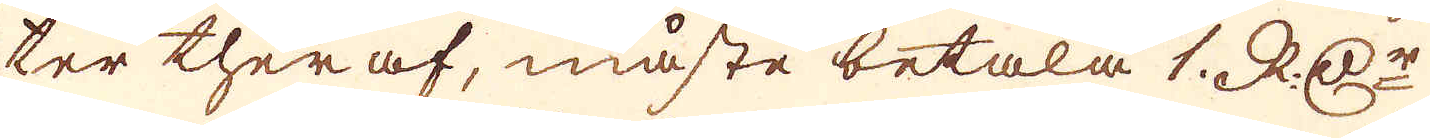ter theraf, måste betala 1. RD:r
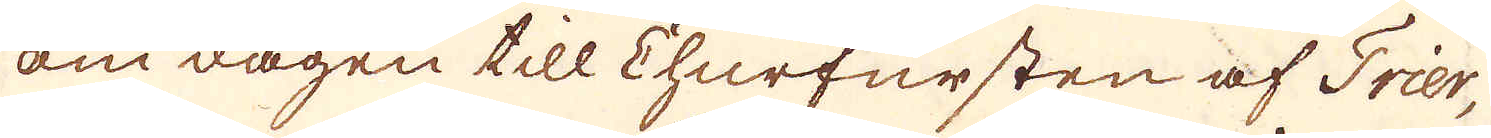om dagen till Churfursten af Trier,
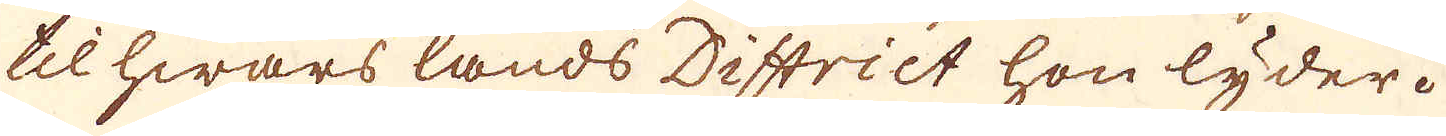til hwars lands District hon lyder.
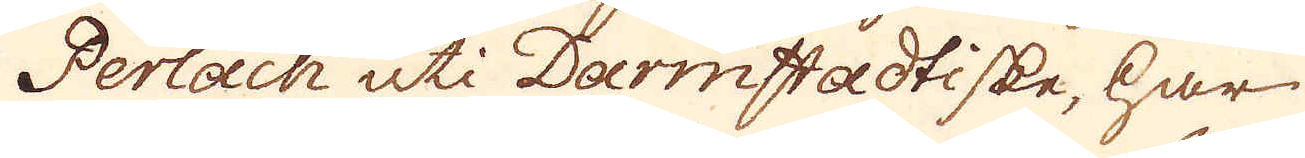Perlach uti Darmstadtiske, har
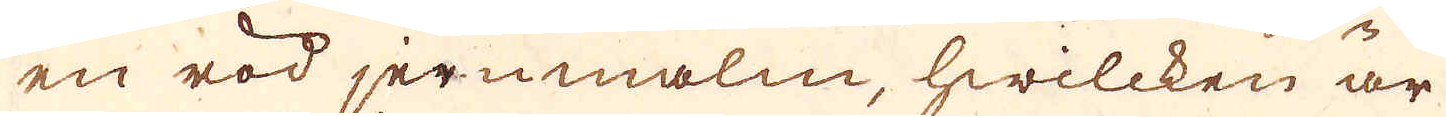en röd jernmalm, hwilcken är
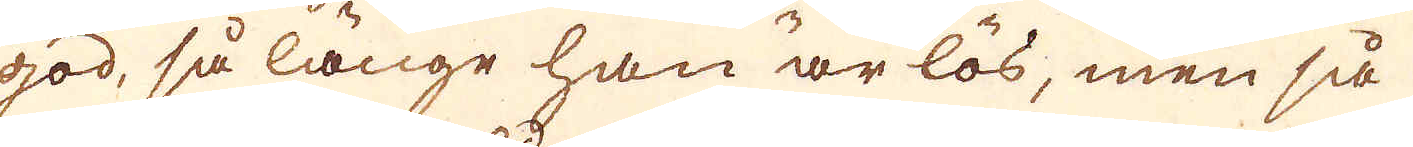god, så länge han är lös, men så
